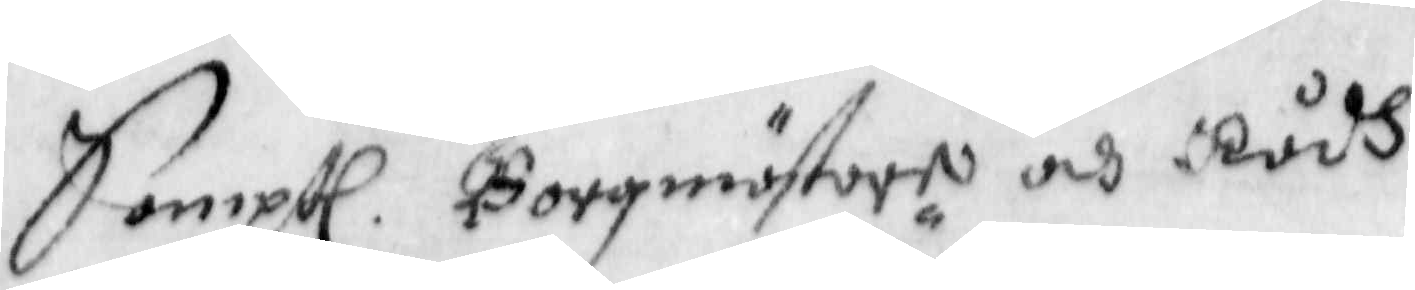Samptl Borgmästare och Rådh
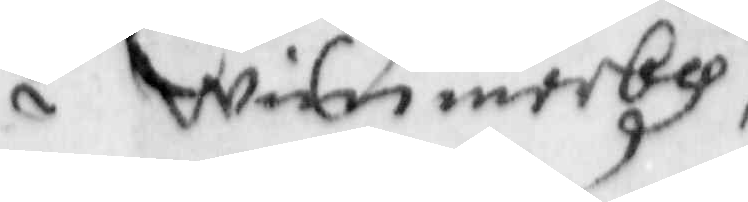i Wimmerby,
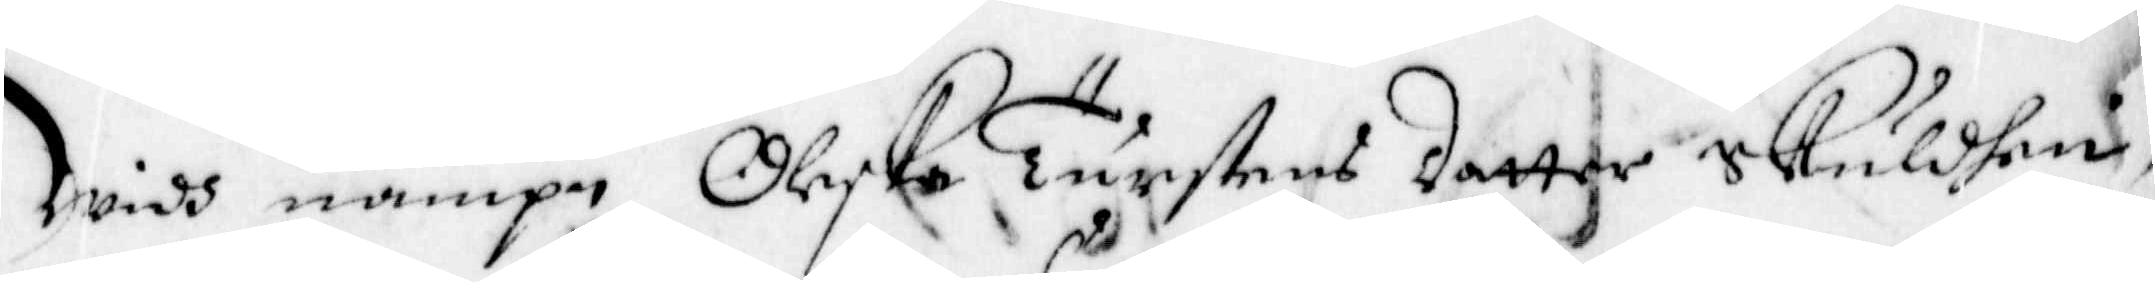Widh nampn Oleska Turstens dotter Skyldhen,
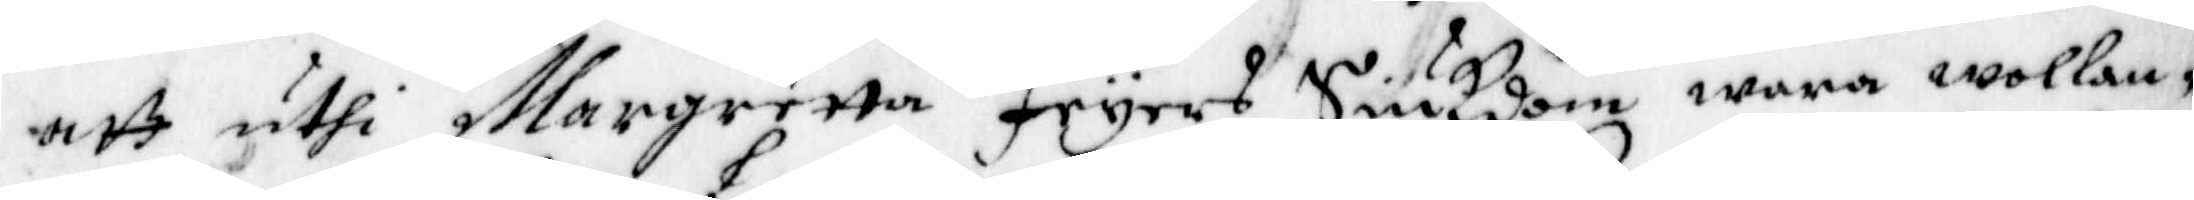att uthi Margretta Fryars Siukdom wara wollan¬
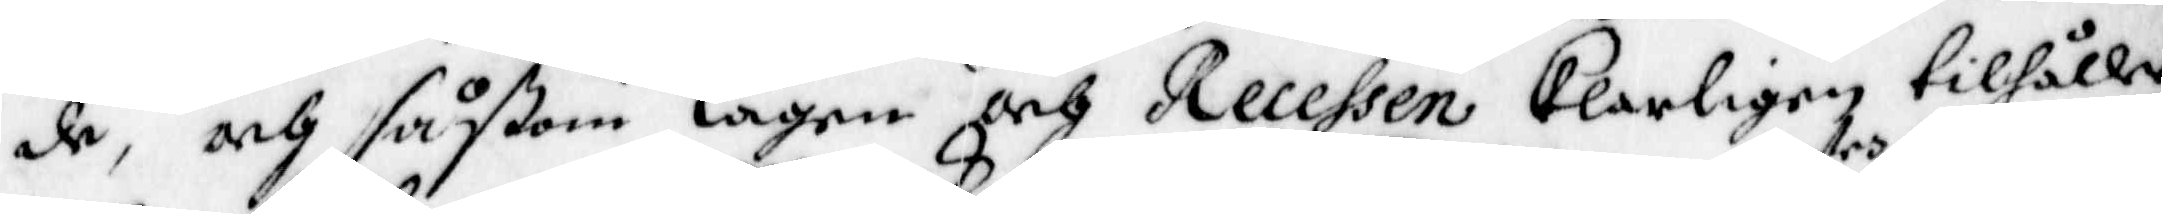de, och såßom Lagen och Recessen Klarligen tilhålle,
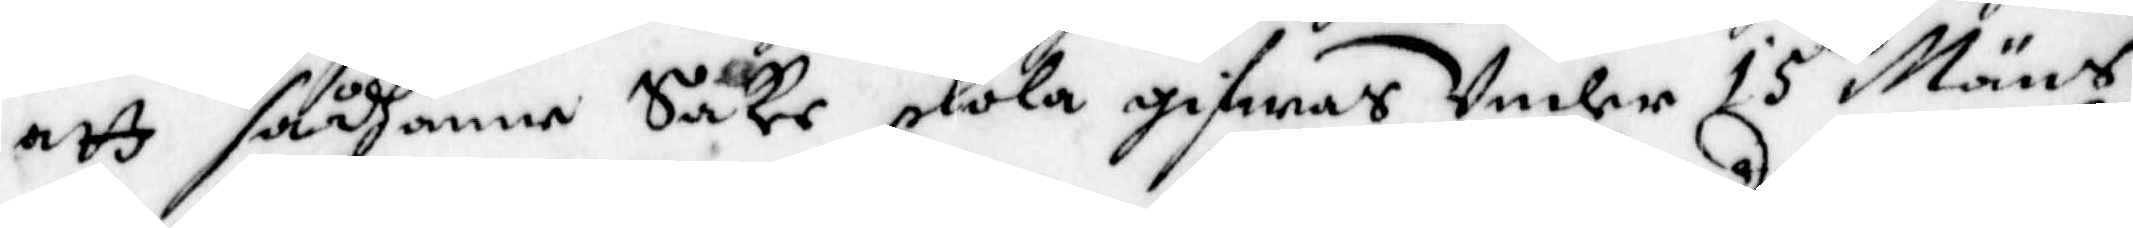att sådhanne Sakr skola gifwas Under 15 trs Mäns
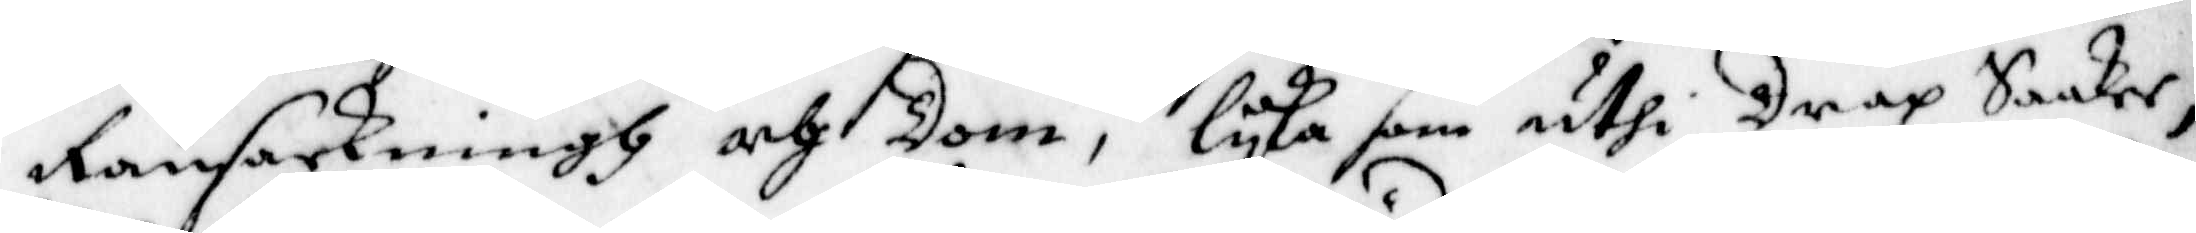Ransakningh och Dom, lyka som uthi Drap Saaker;
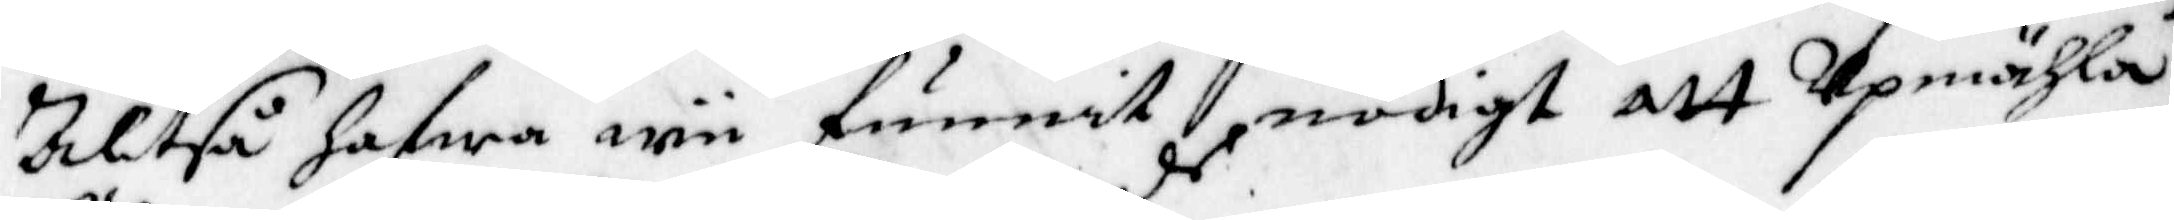Altså hafwa nu funnit nödigt att Upmähla
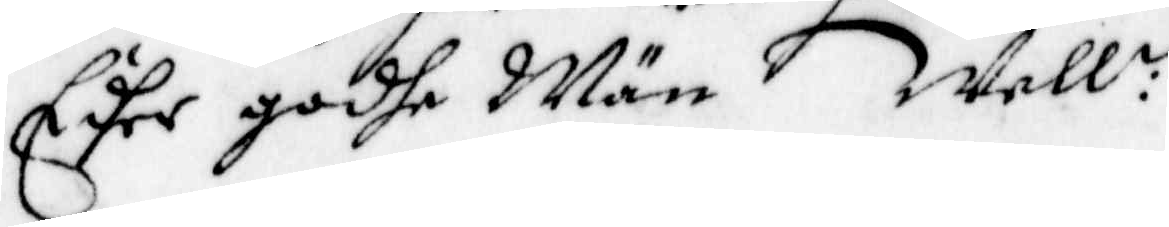Edher godhe Män Well:de
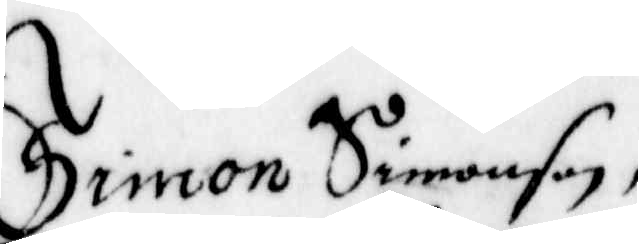Simon Simonson,
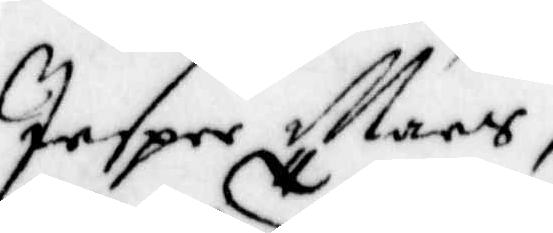Jesper Mars
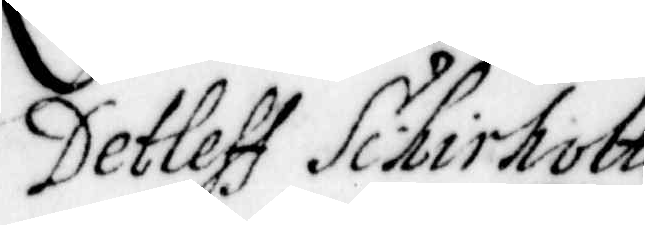Detleff Schirholtz,
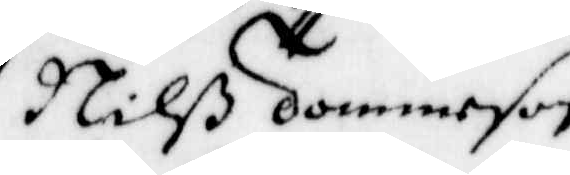Nilß Tommeson
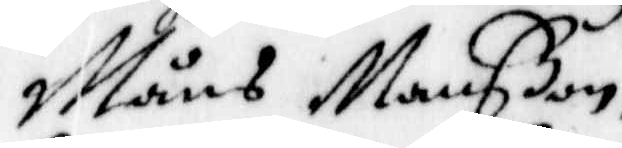Måns Månßon,
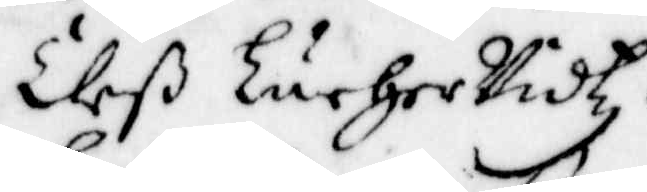Eliß LurherVidtz,
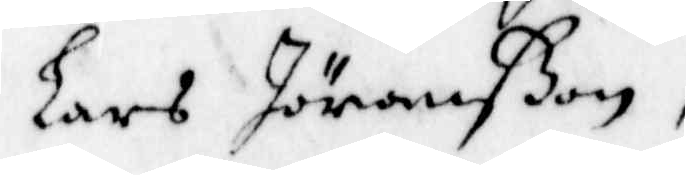Lars Jöranßon,
